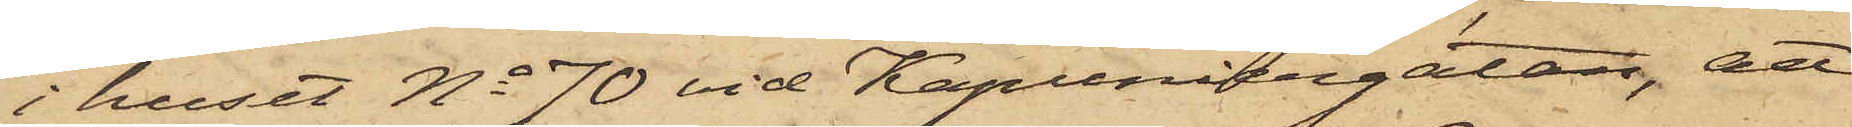i huset No 70 vid Kapuniergatan, att
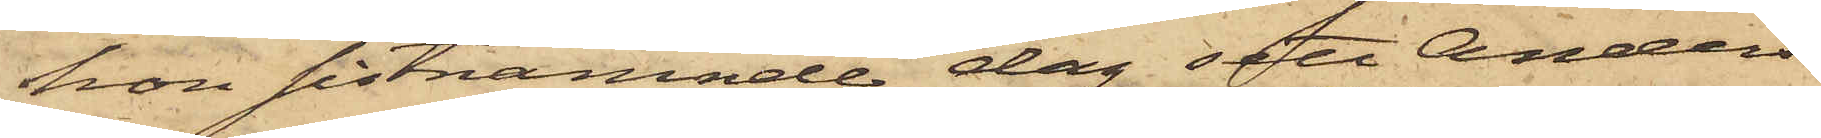hon sistnämnde dag sett Anders¬
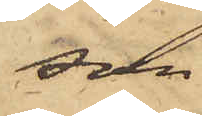son
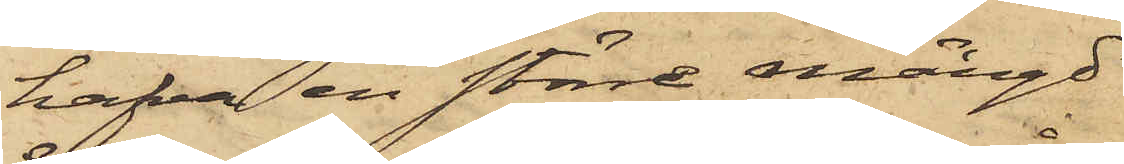hafva en större mängd
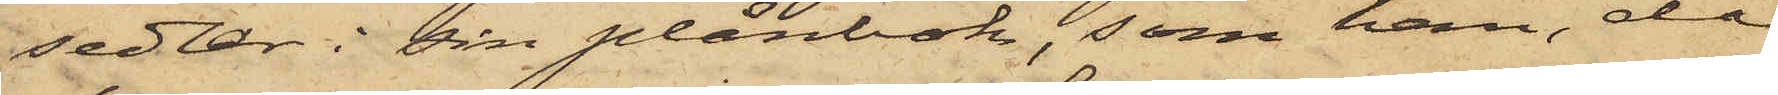sedlar i sin plånbok, som han, då
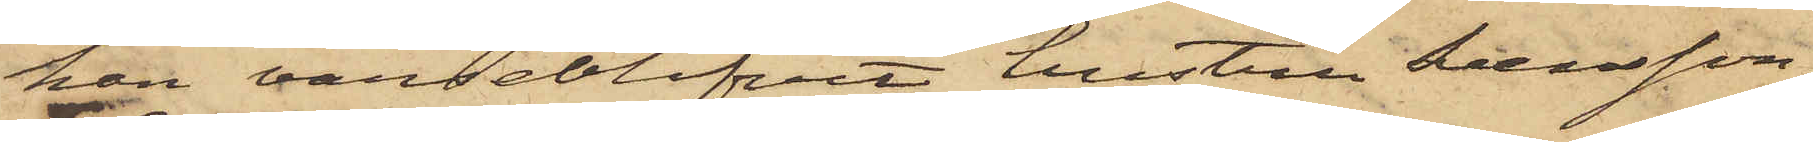han varseblifvit hustru Svensson,
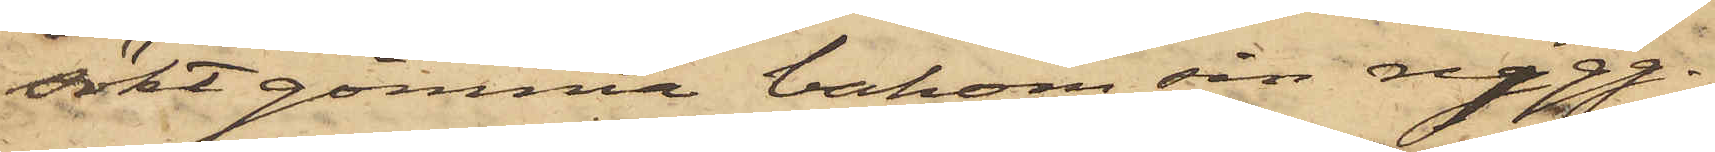sökt gömma bakom sin rygg.
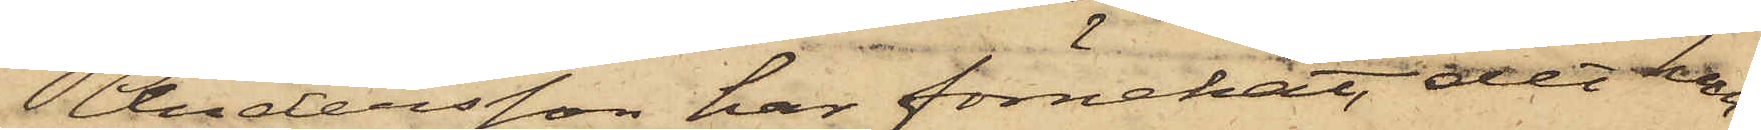Andersson har förnekat, det han
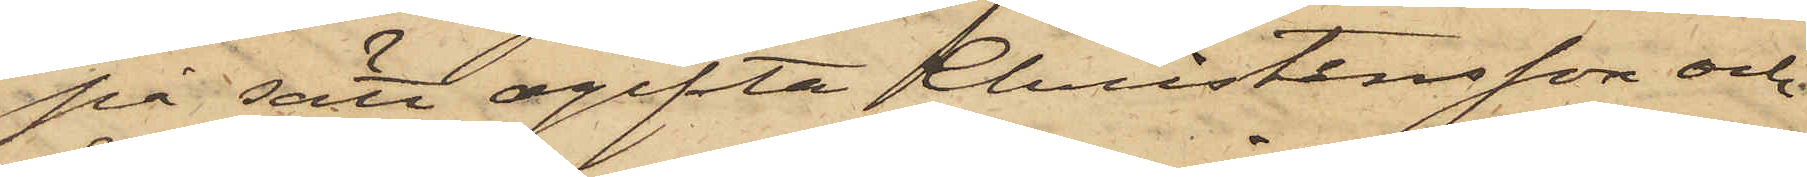på sätt ogifta Christensson och
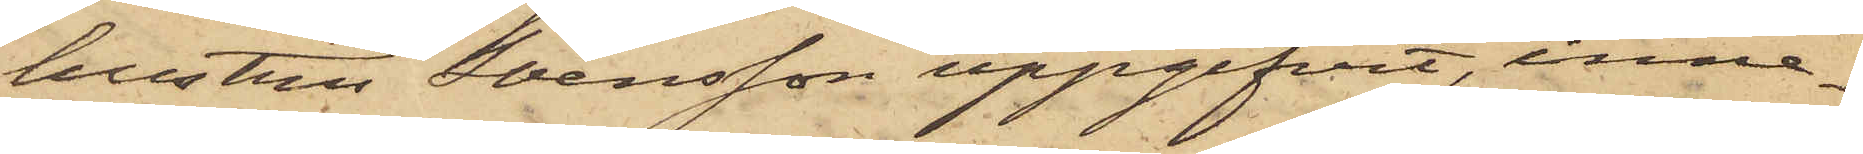hustru Svensson uppgifvit, inne¬
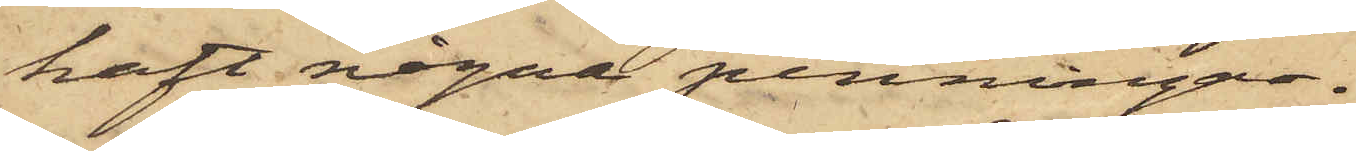haft några penningar.
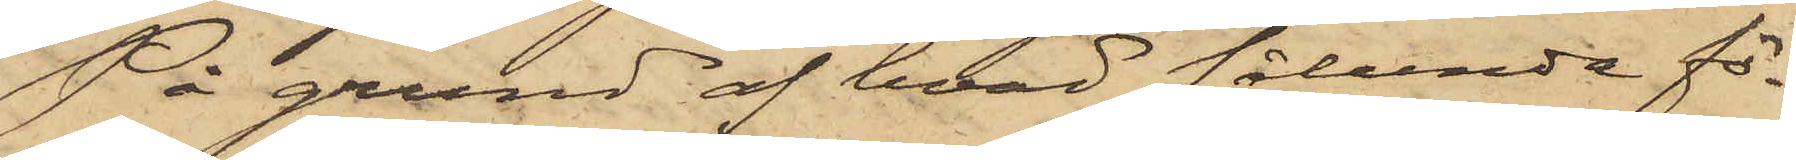På grund af hvad sålunda fö¬
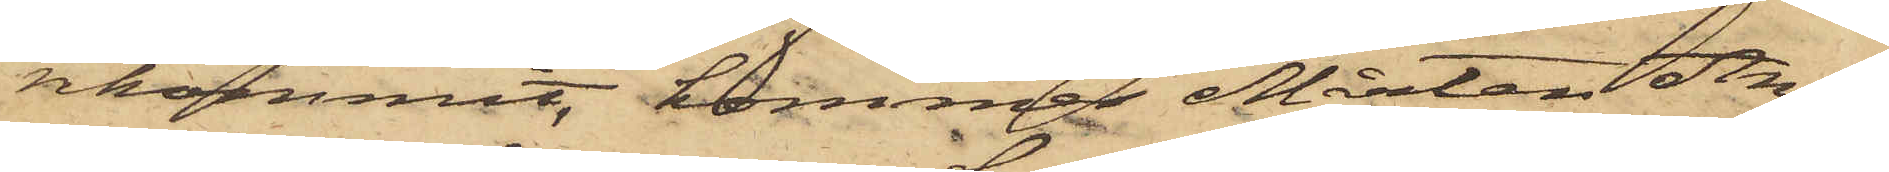rekommit, kommer Mårten An¬
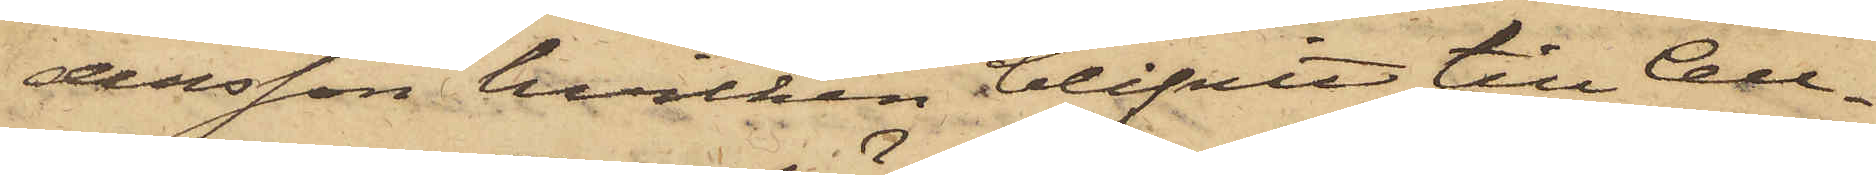dersson, hvilken blifvit till Cell¬
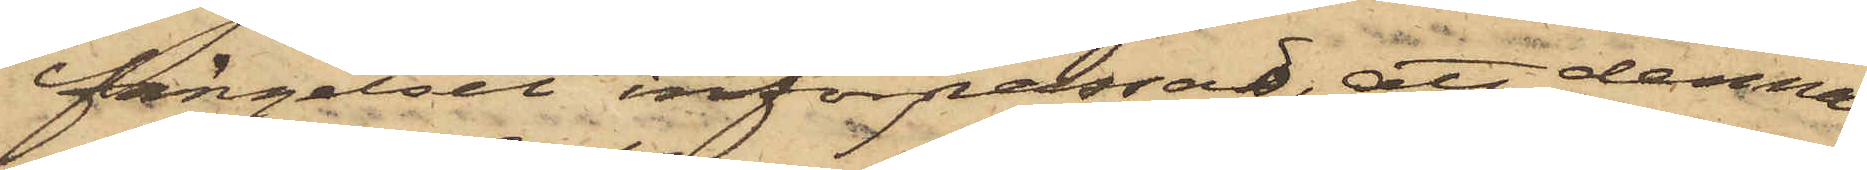fängelset införpassad, att denna
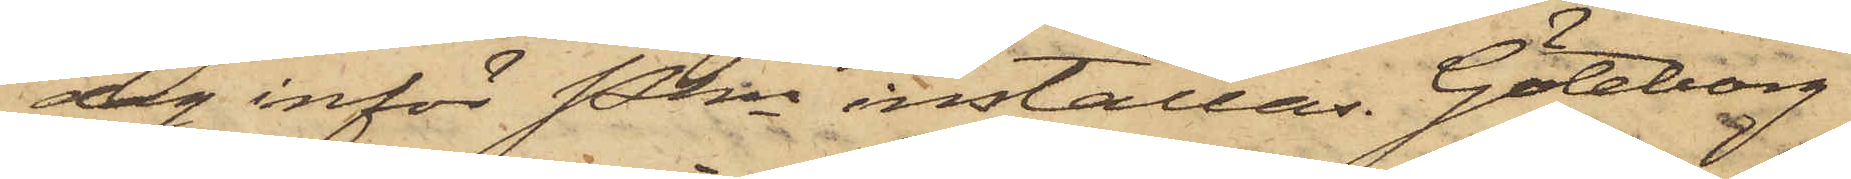dag inför Pkn inställas. Göteborg
